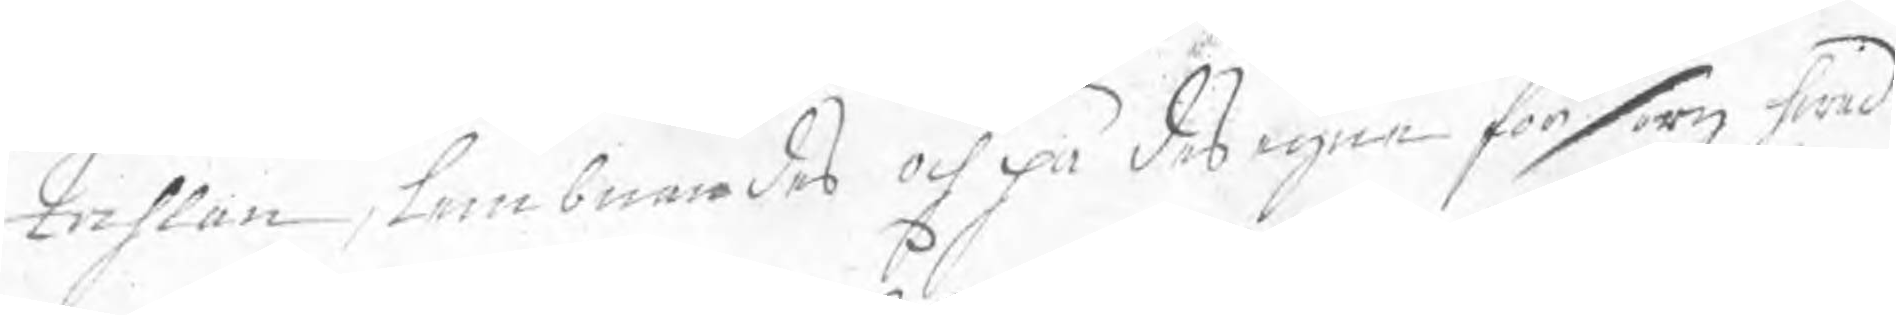tahlan, lembnades och på des egne försorg hwad
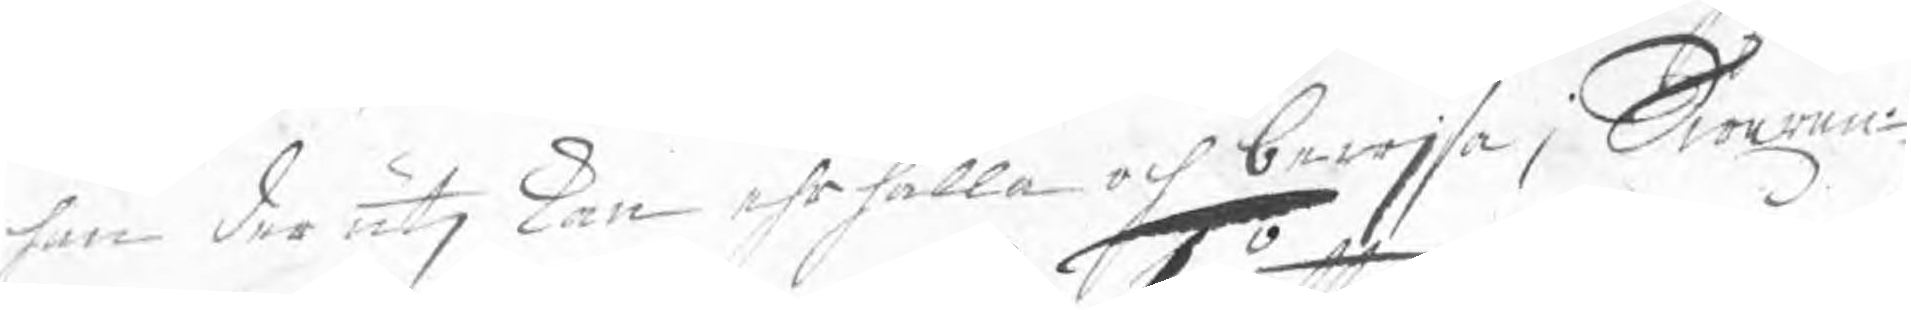han der utj kan ehrhålla och bewjsa; Swaran¬
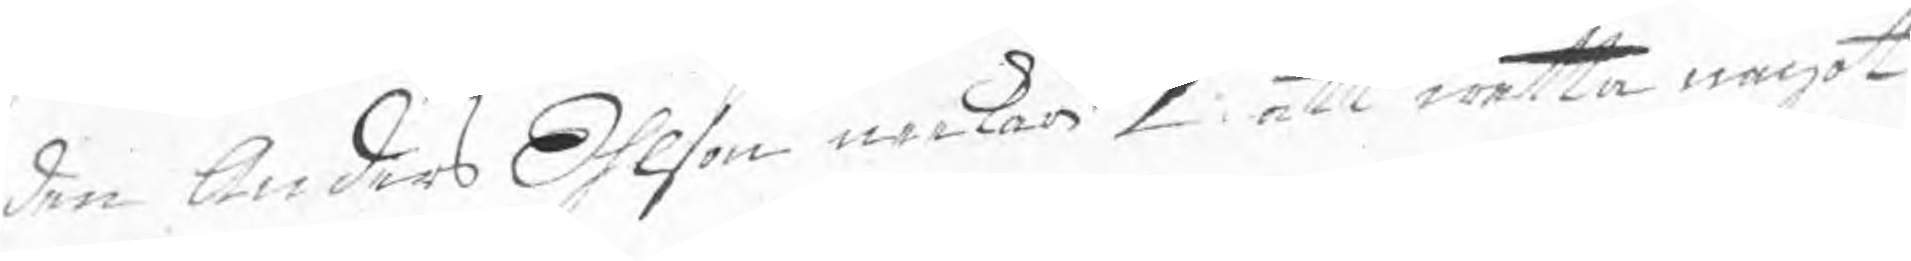den Anders Ohlson neekar 1o att wetta något
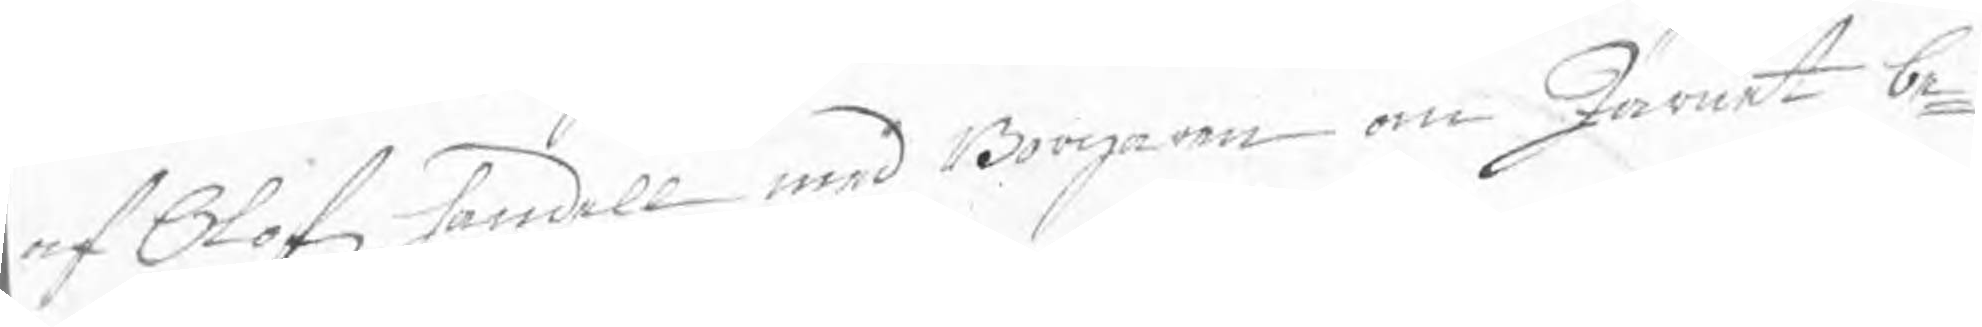af Olofz handell med Borgaren om Järnet be¬
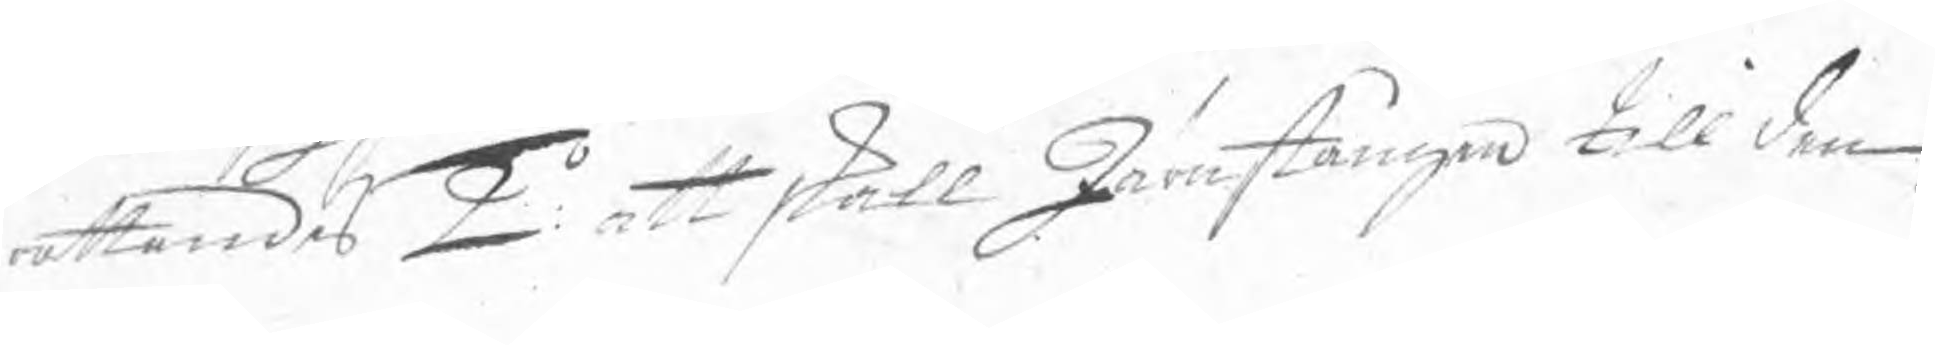rättandes 2o: att skall Järnstången till den
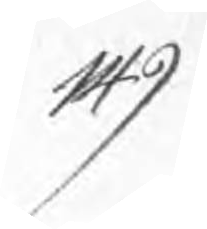149
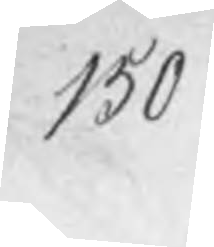150
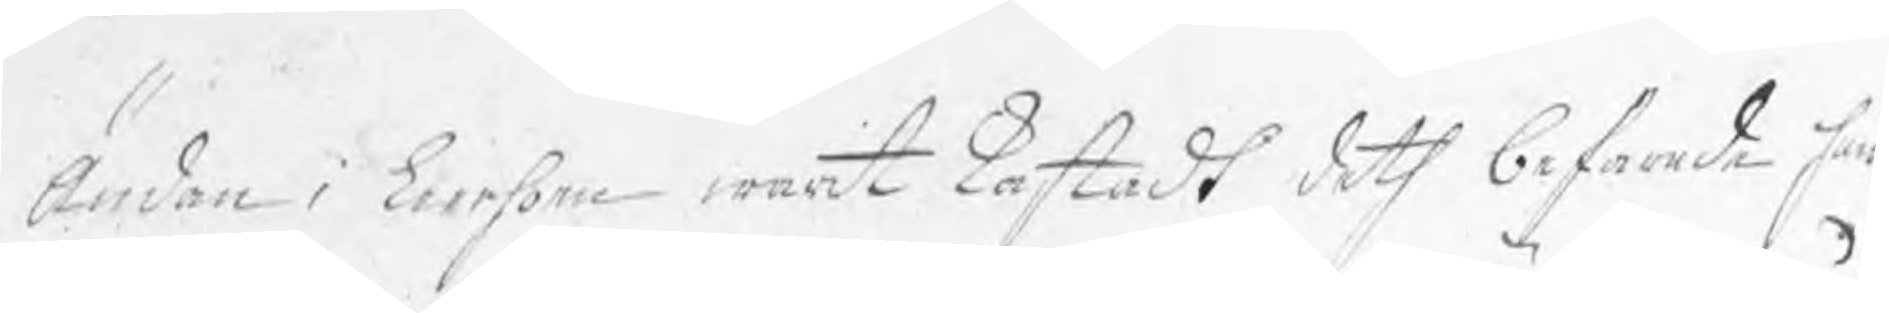ändan i leerhoen warit kastadt deth befarade han
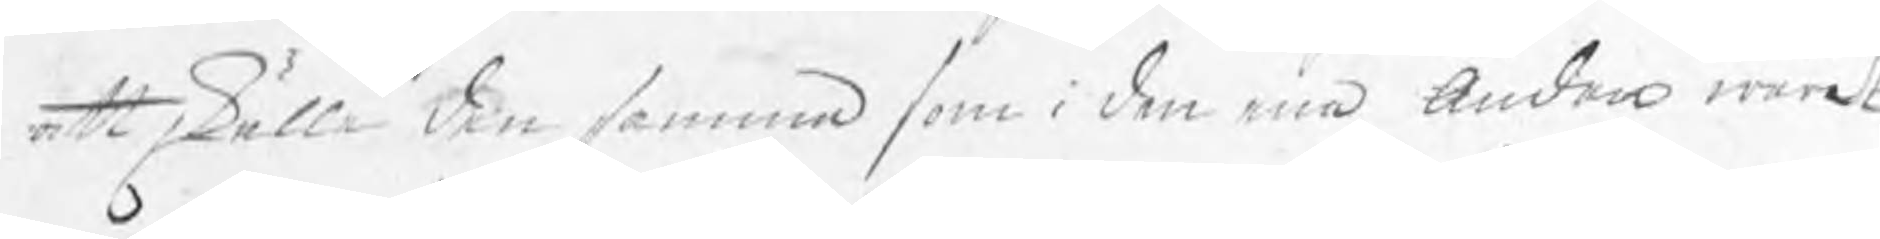att skulle den samma som i den ena ändan waret
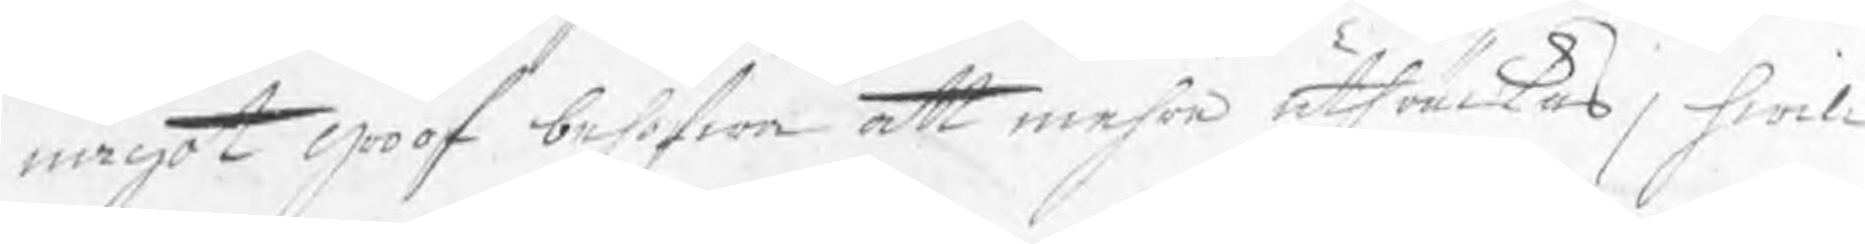något groof behöfwa att mehra uthräckas, hwil¬
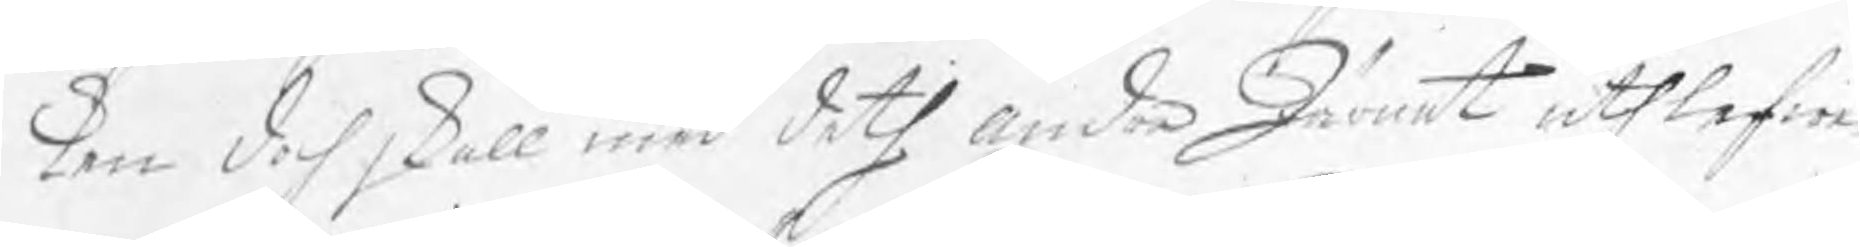ken doch skall med deth andra Järnet uthlefwe¬
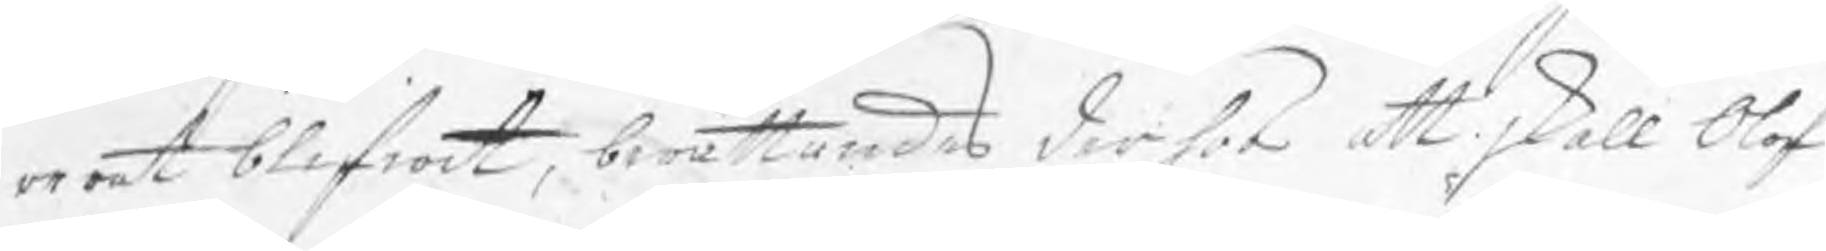rerat blifwit, berättandes derför att skall Olof
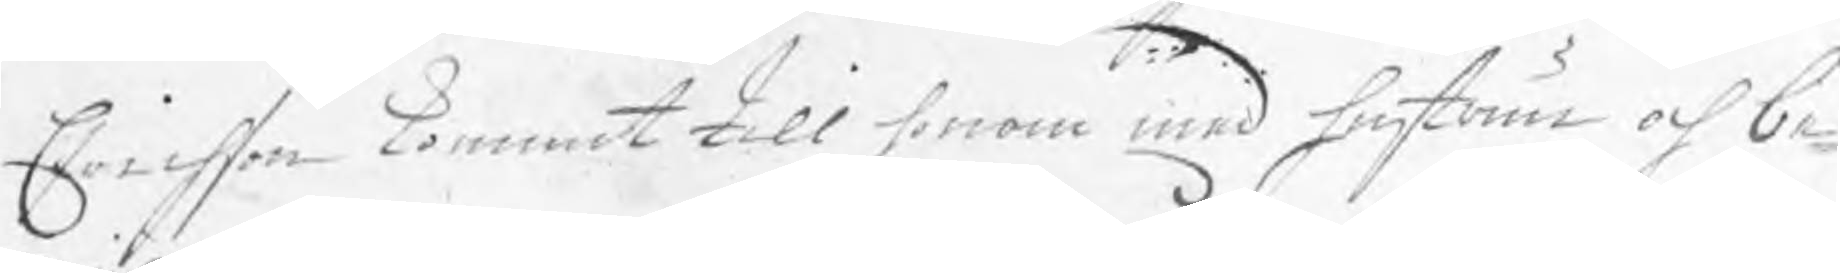Erichson kommit till honom med hustrun och be¬
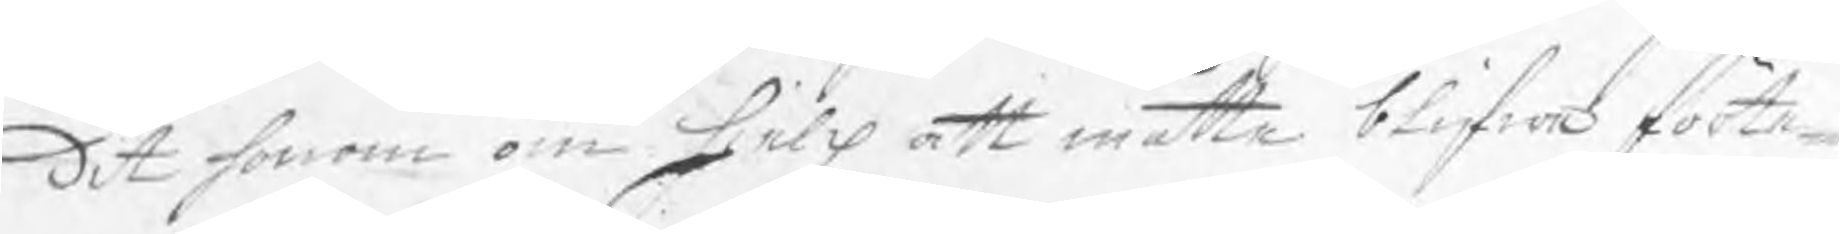dit honom om hielp att måtte blifwa förte¬
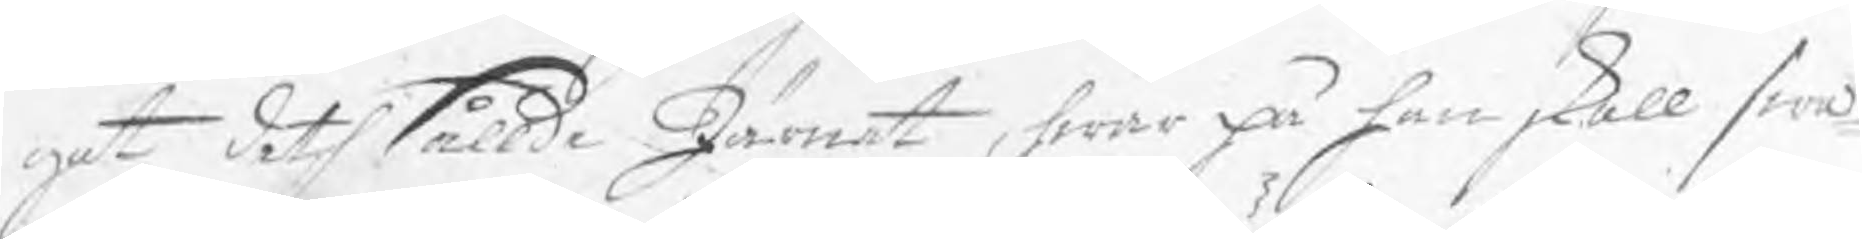gat deth sållde Järnet, hwar på han skall swa¬
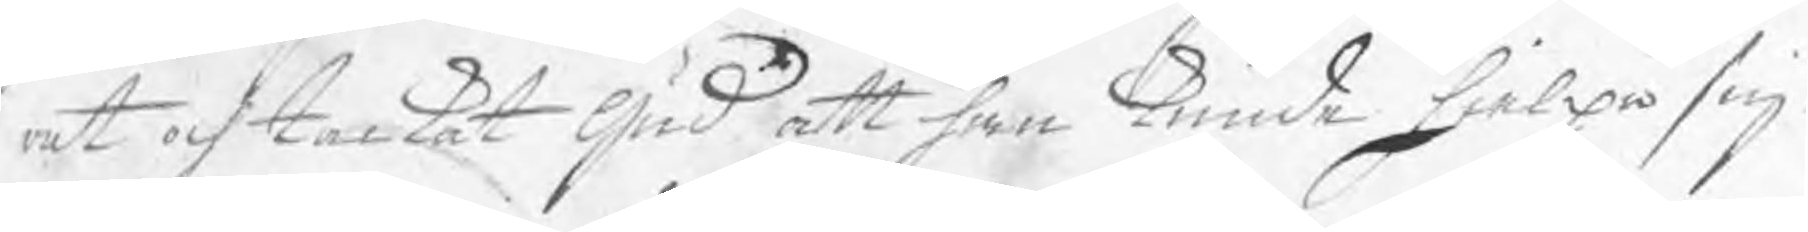rat och tackat Gud att han kunde hielpa sig
